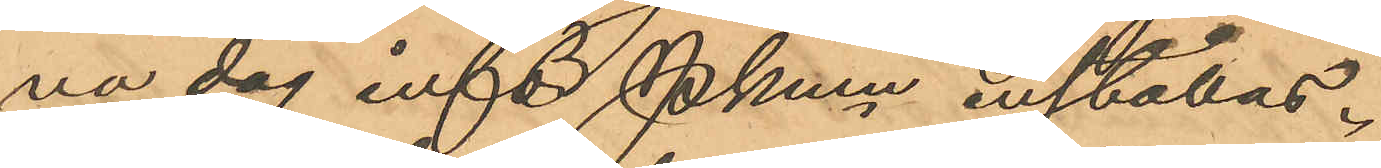na dag inför Pkmn inställas.
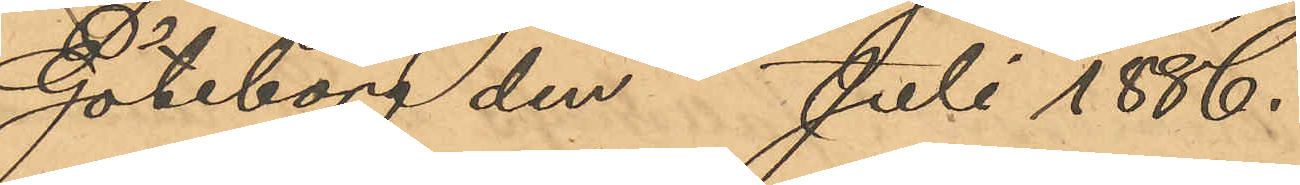Göteborg den Juli 1886.
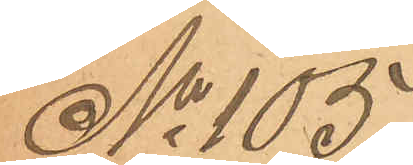No 105
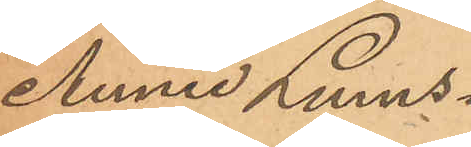Annie Lums¬
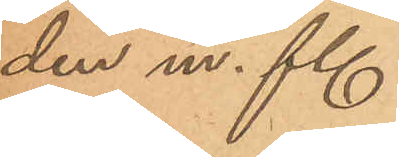den m. fl.
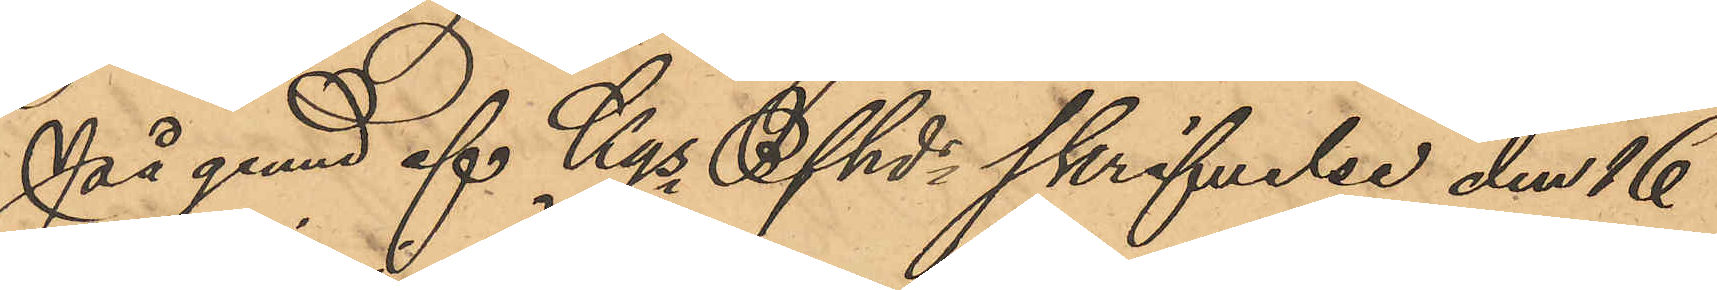På gund af Kgs Bfhd skrifvelse den 16
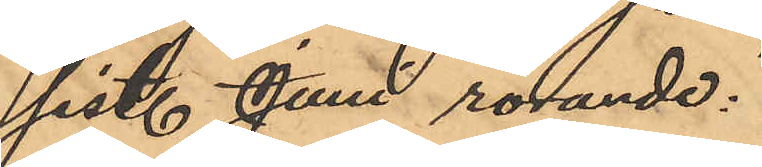sist. Juni rörande:
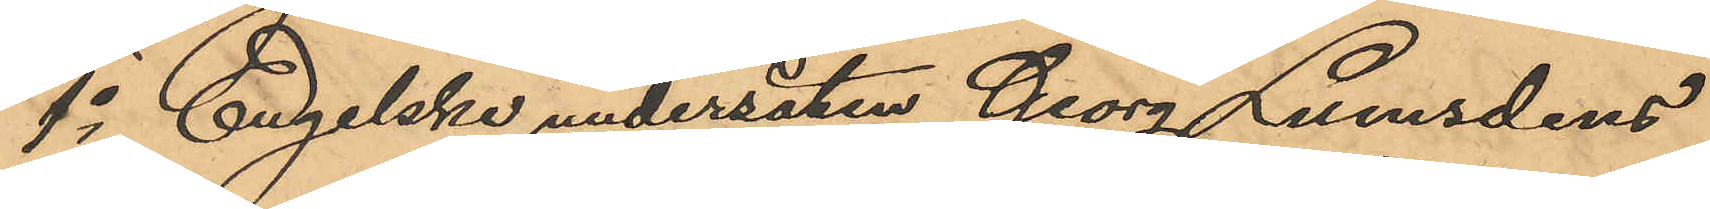1o Engelska undersåten Georg Lumsdens
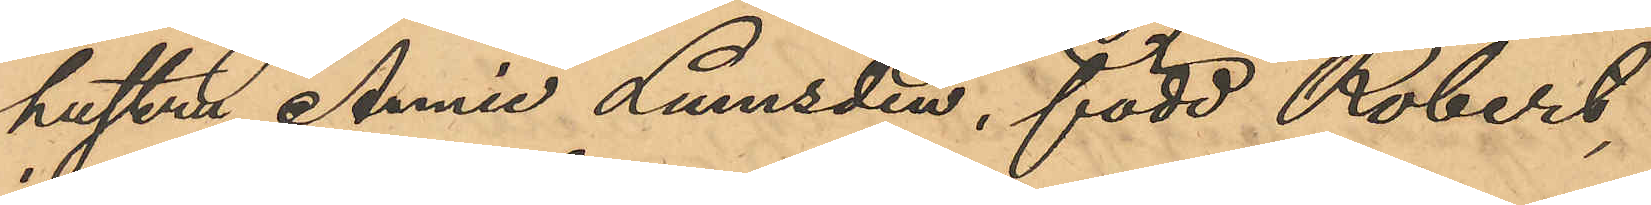hustru Annie Lumsden, född Robert,
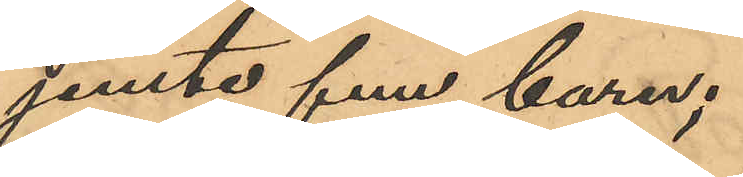jemte fem barn;
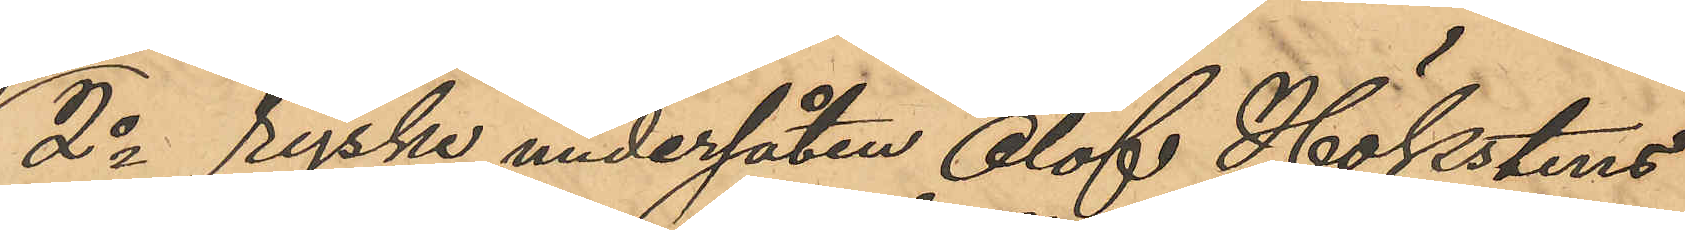2o ryske undersåten Olof Hökstens
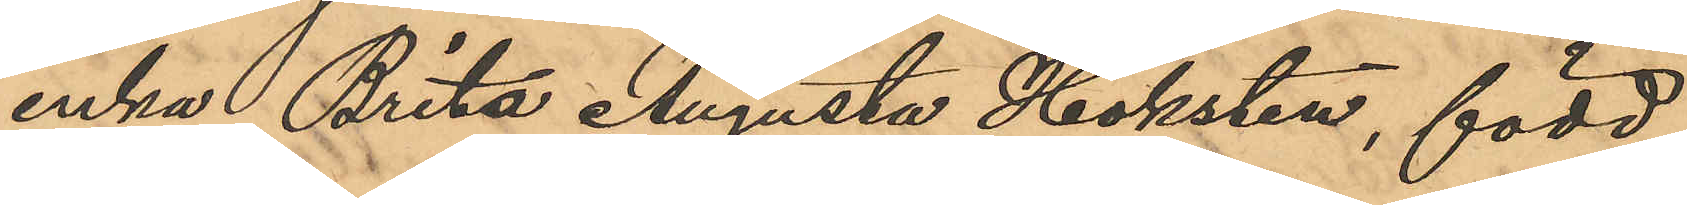enka Brita Augusta Höksten, född
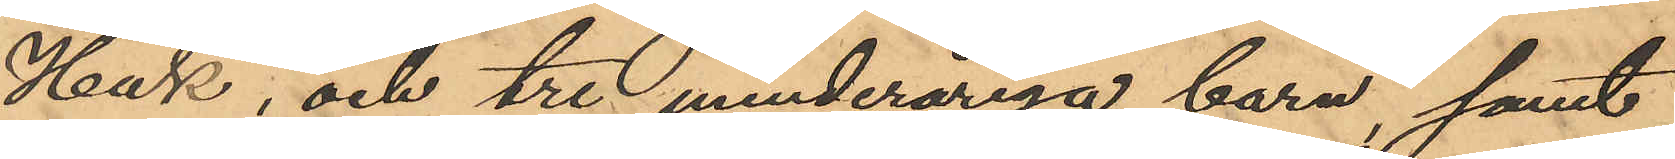Hak, och tre minderåriga barn, samt
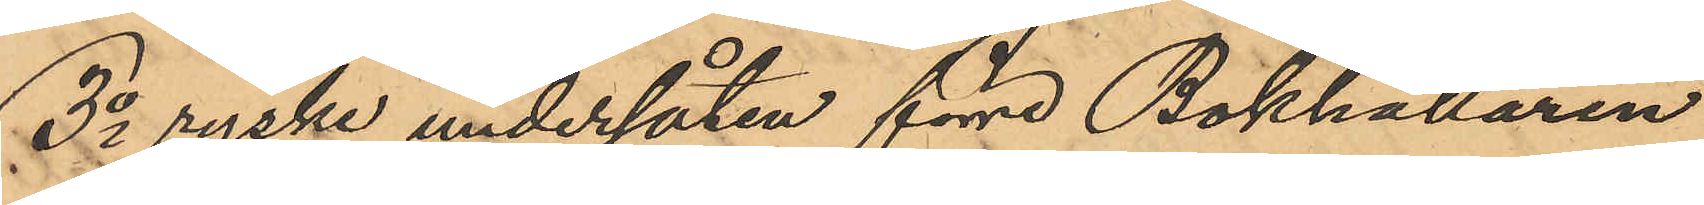3o ryske undersåten förre Bokhållaren
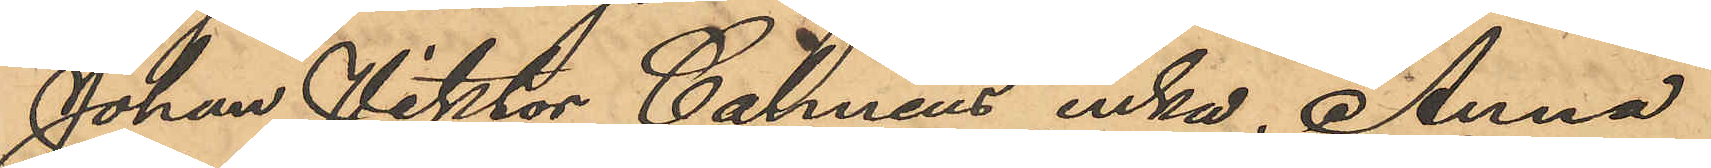Johan Viktor Calméns enka, Anna
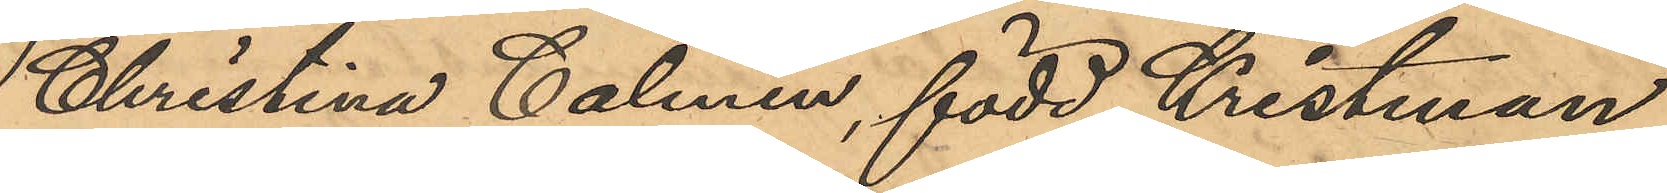Christina Calmén, född Kristman,
